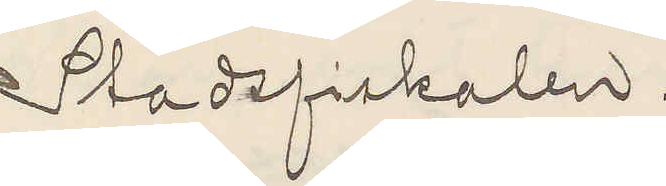Stadsfiskalen.
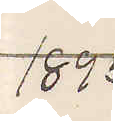1895
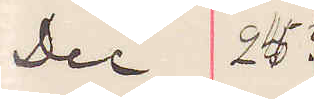Dec 25
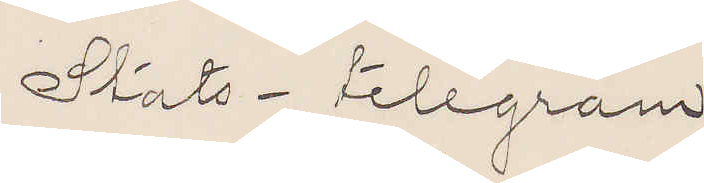Stats-telegram.
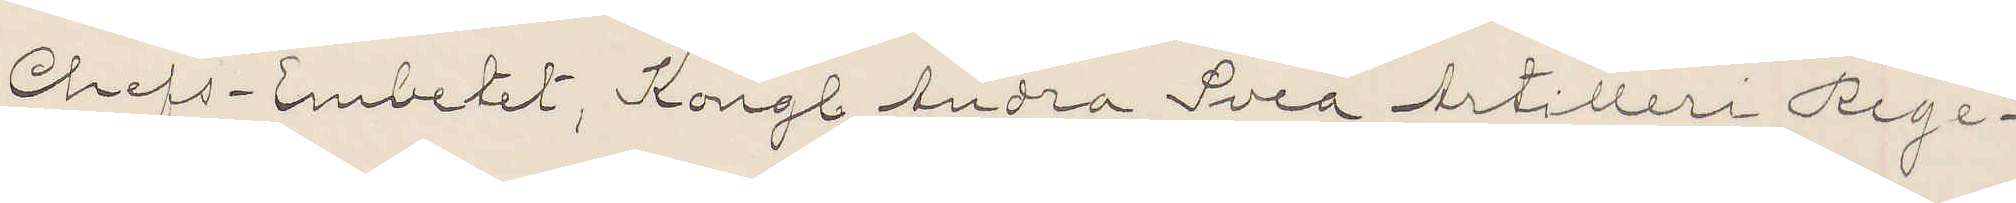Chefs-Embetet, Kongl Andra Svea Artilleri Rege¬
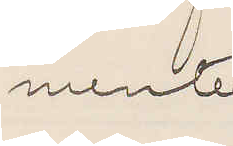mente.
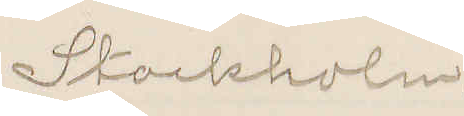Stockholm.
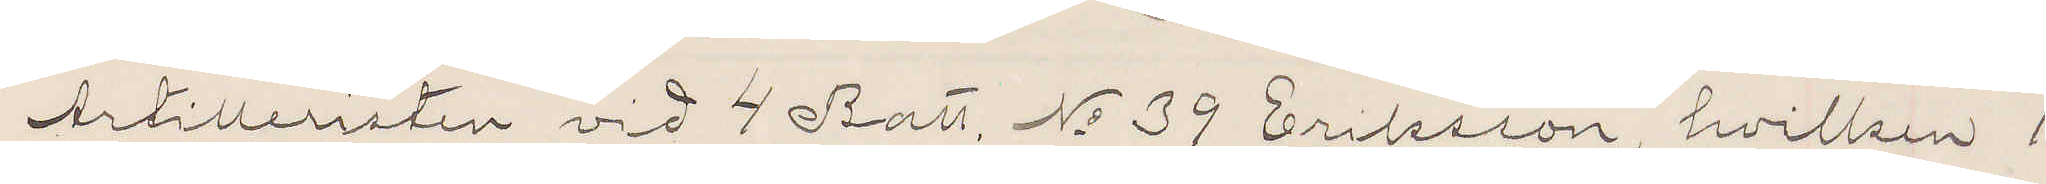Artilleristen vid 4 Batt. No 39 Eriksson, hvilken 1
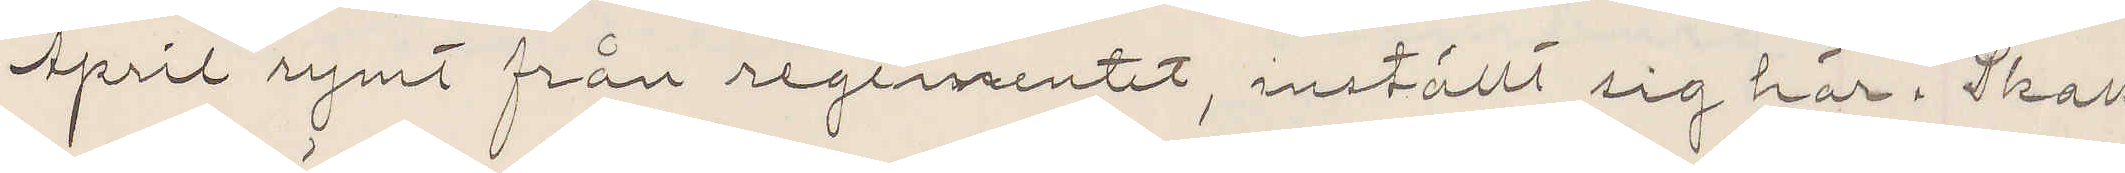April rymt från regementet, inställt sig här. Skall
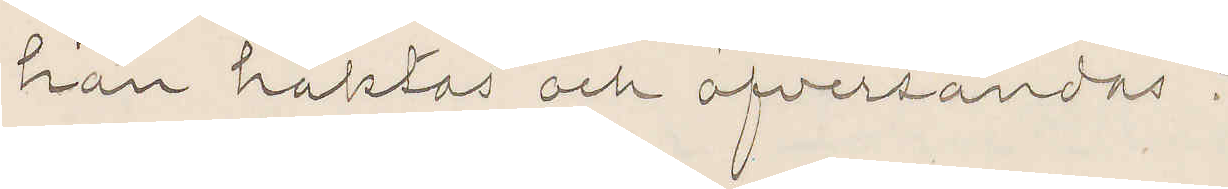han häktas och öfversändas?
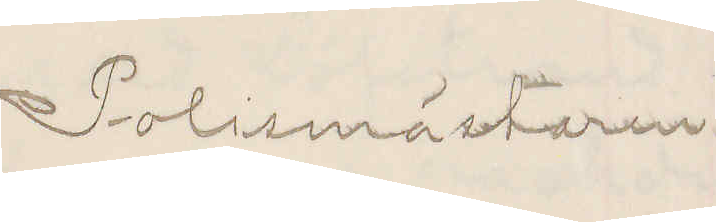Polismästaren
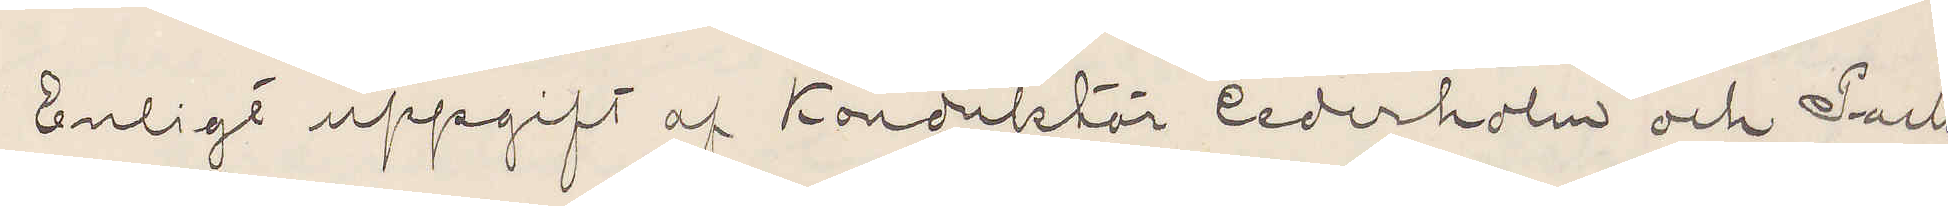Enligt uppgift af Konduktör Cederholm och Pack¬
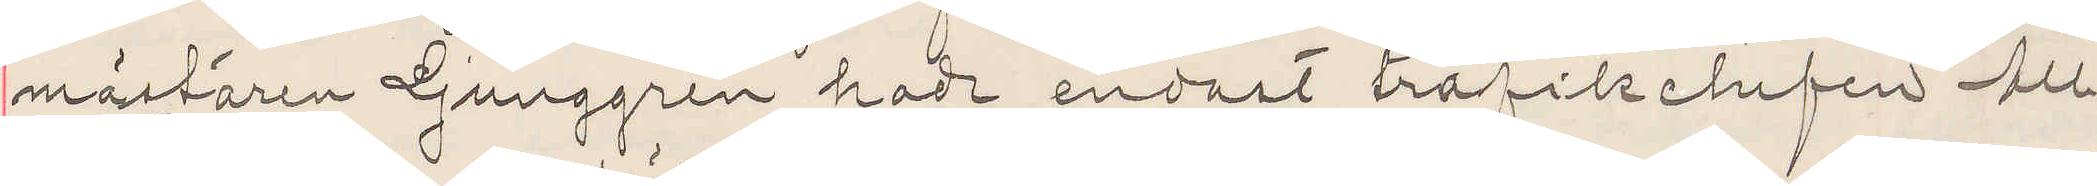mästaren Ljunggren hade endast trafikchefen Au
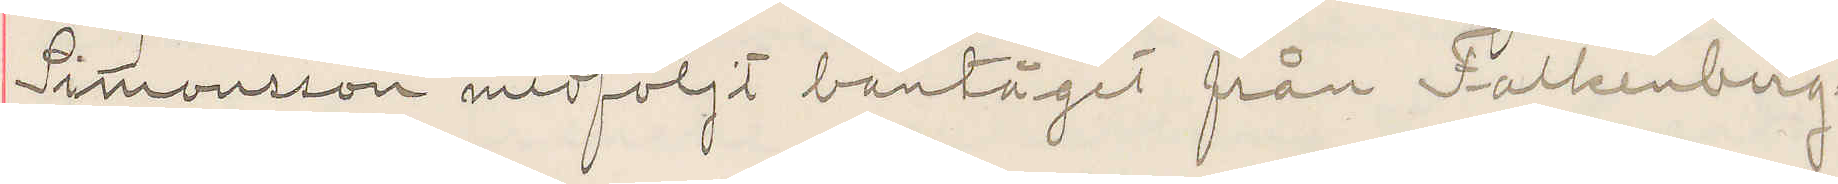Simonsson medföljt bantåget från Falkenberg.
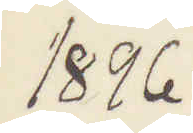1896
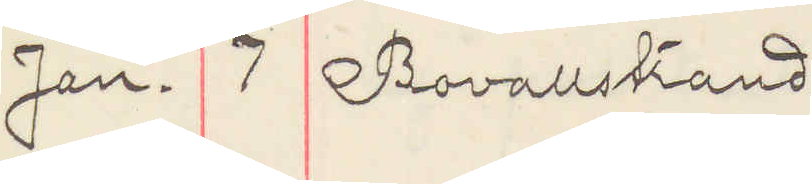Jan. 7 Bovallstrand
